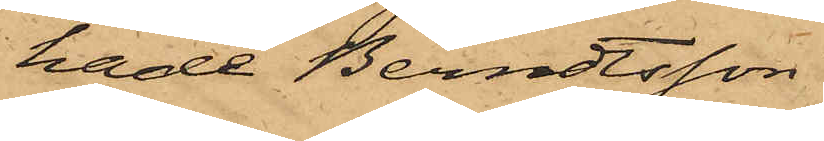hade Berndtsson
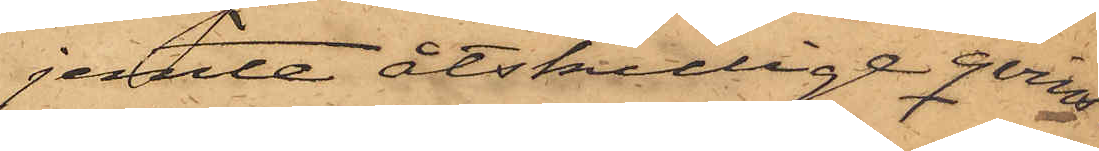jemte åtskillige qvins¬
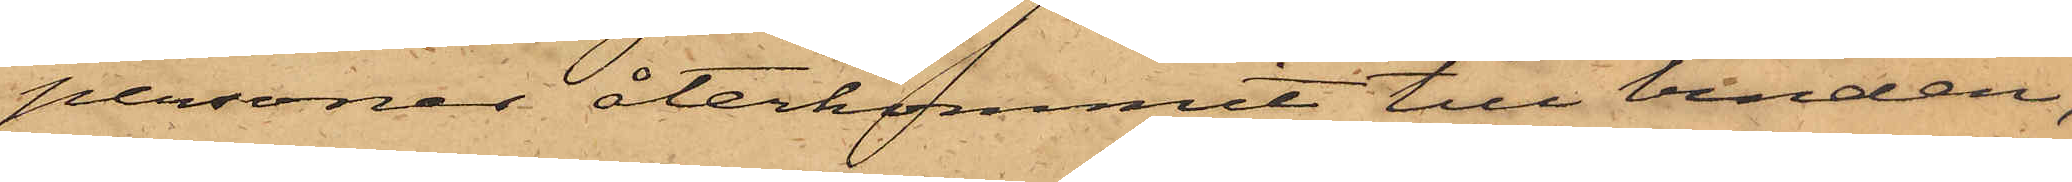personer återkommit till vinden,
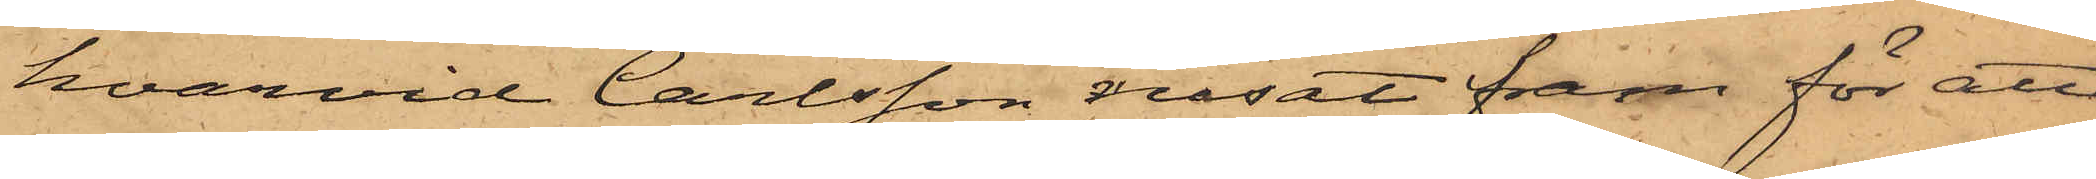hvarvid Carlsson rusat fram för att
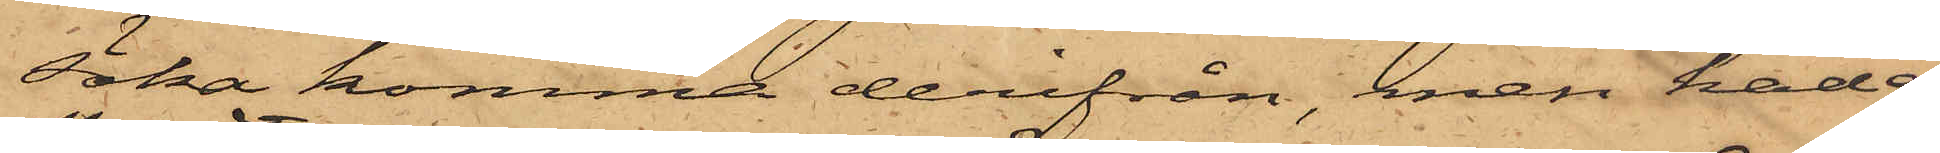söka komma derifrån, men hade
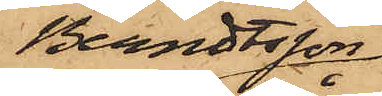Berndtsson
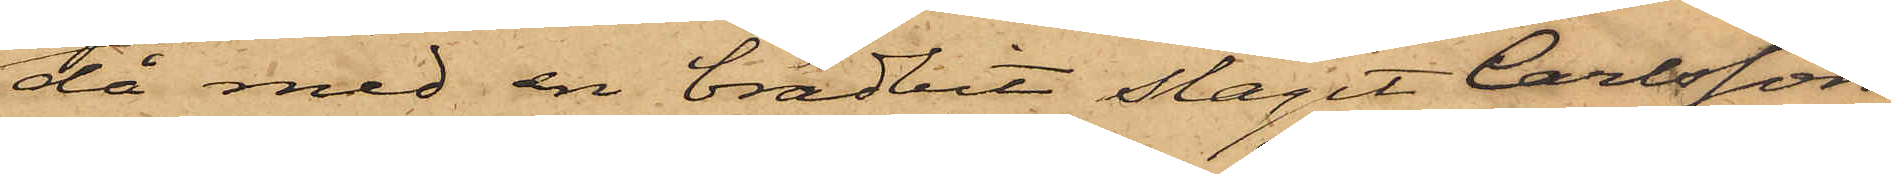då med en brädbit slagit Carlsson
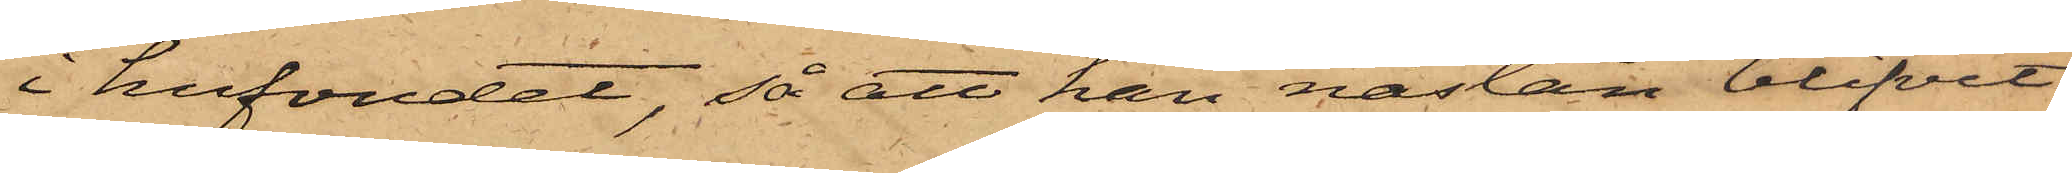i hufvudet, så att han nästan blifvit
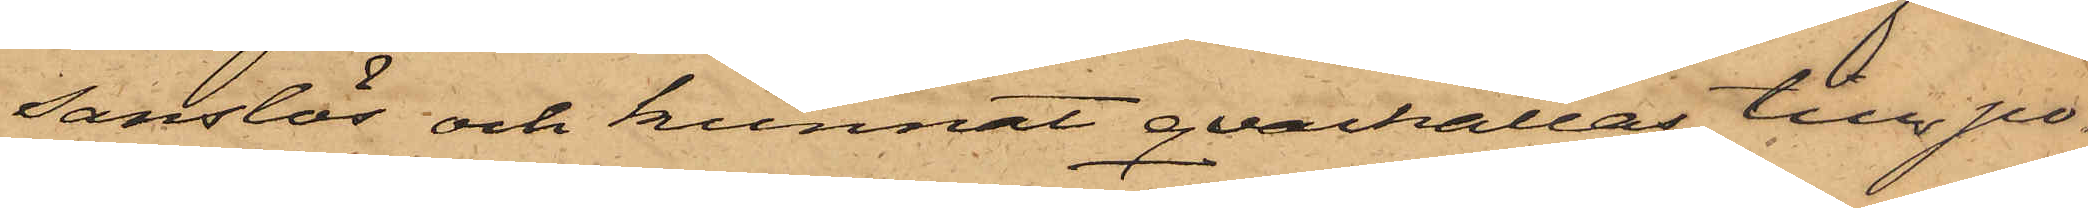sanslös och kunnat qvarhållas till po¬
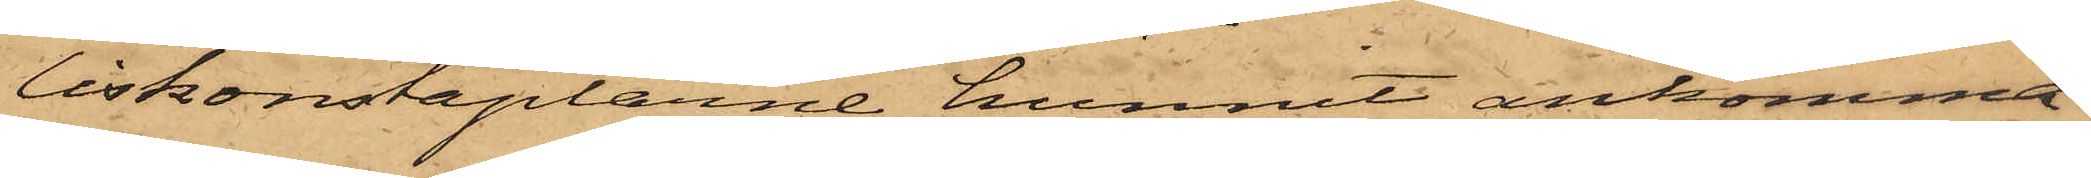liskonstaplarne hunnit ankomma.
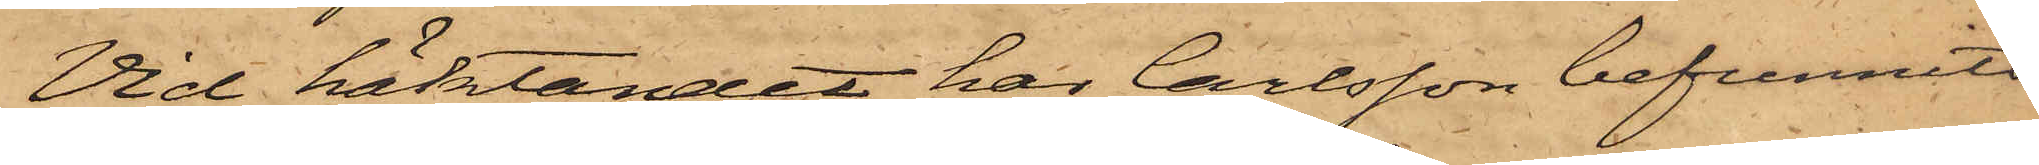Vid häktandet har Carlsson befunnits
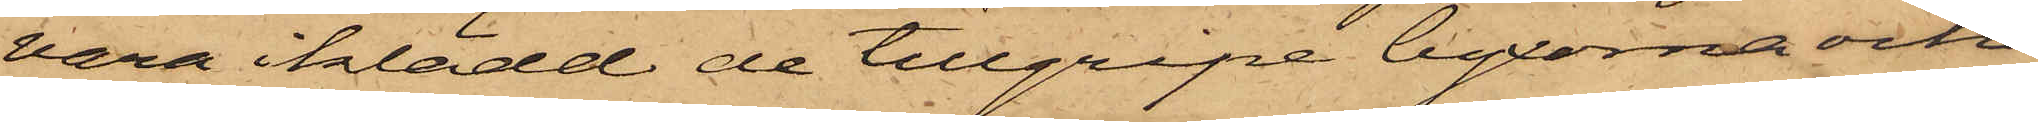vara iklädd de tillgripe byxorna och
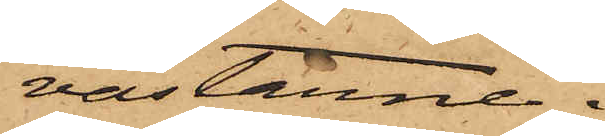västarne.
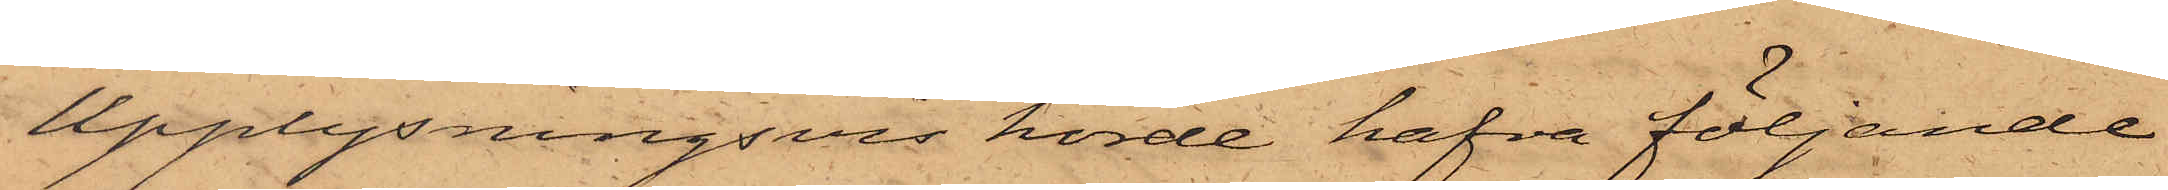Upplysningsvis hörde hafva följande
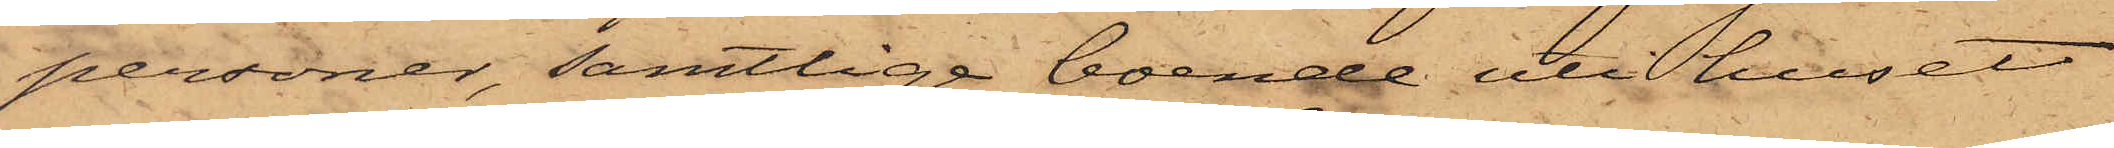personer, samtlige boende uti huset
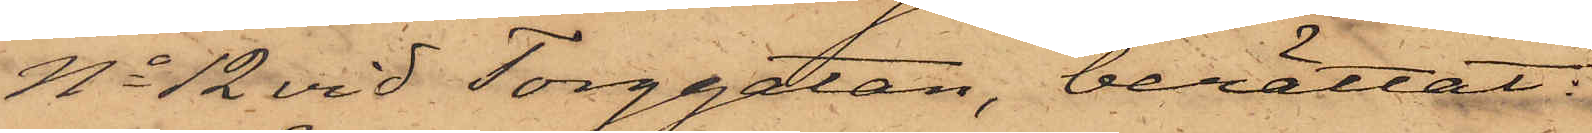No 12 vid Torggatan, berättat:
